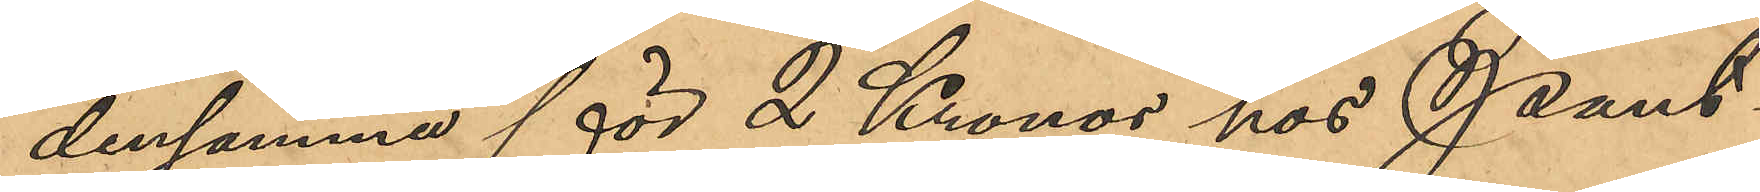densamma för 2 Kronor hos Pant¬
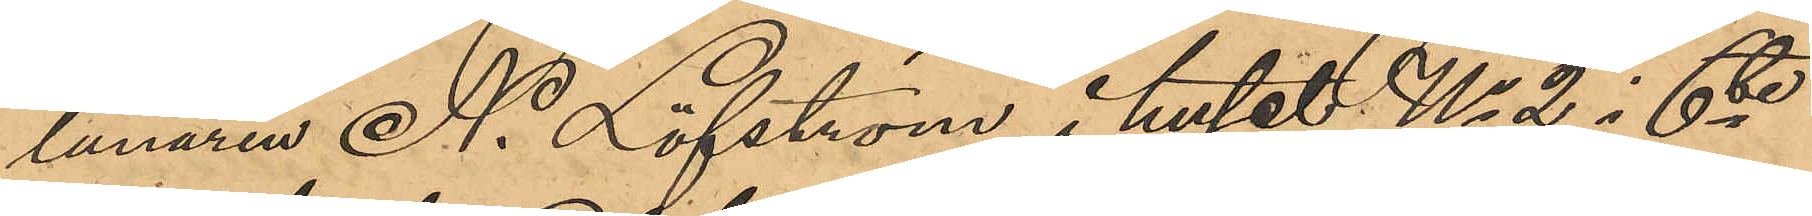lånaren N. Löfström i huset No 2 i 6te
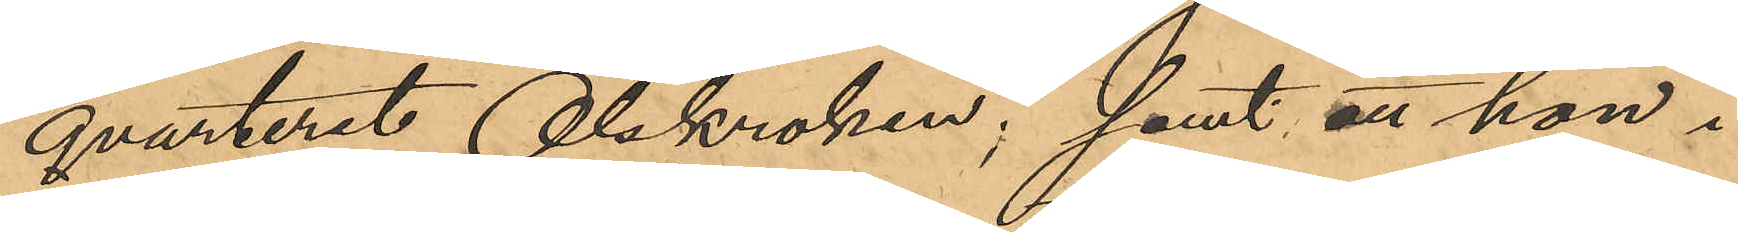qvarteret Olskroken; samt att hon i
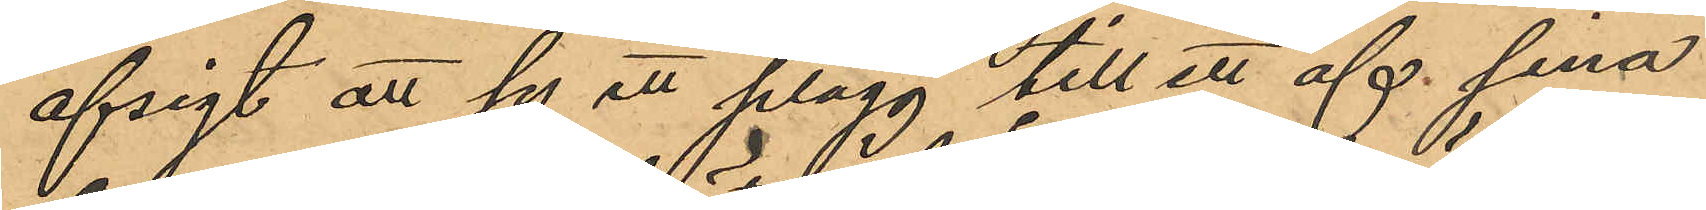afsigt att sy ett plagg till ett af sina
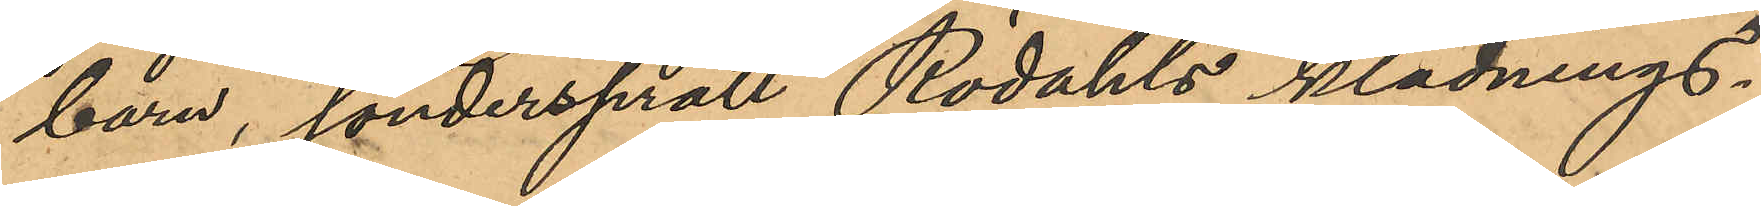barn, söndersprätt Rödahls klädnings¬
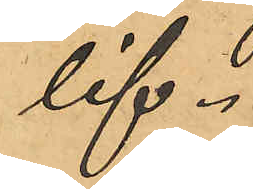lif.
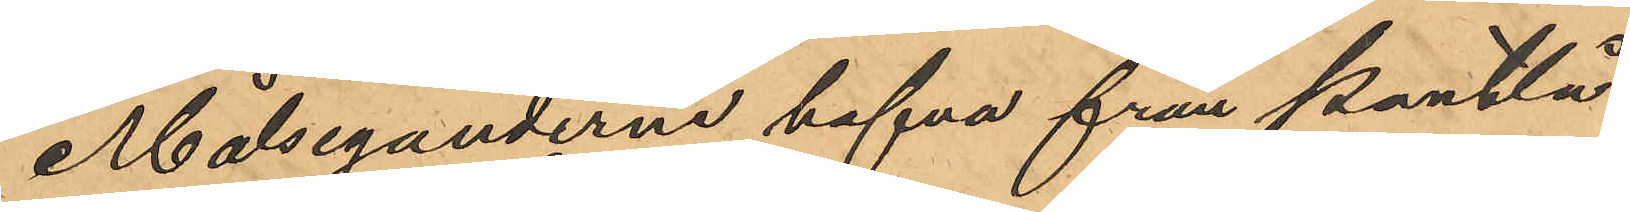Målseganderne hafva från Pantlå¬
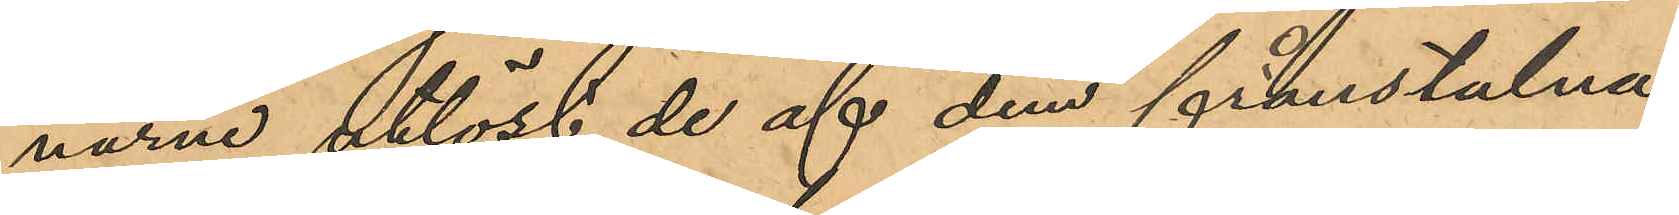narne utlöst de af dem frånstulna
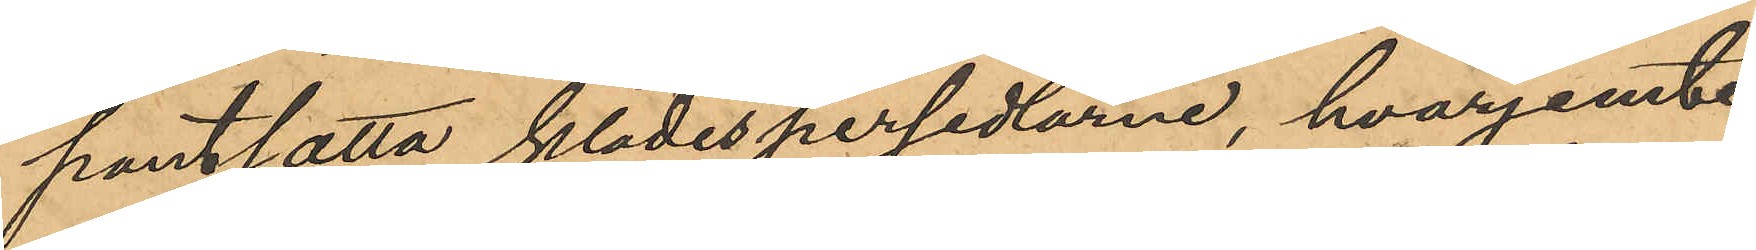pantsatta klädespersedlarne, hvarjemte
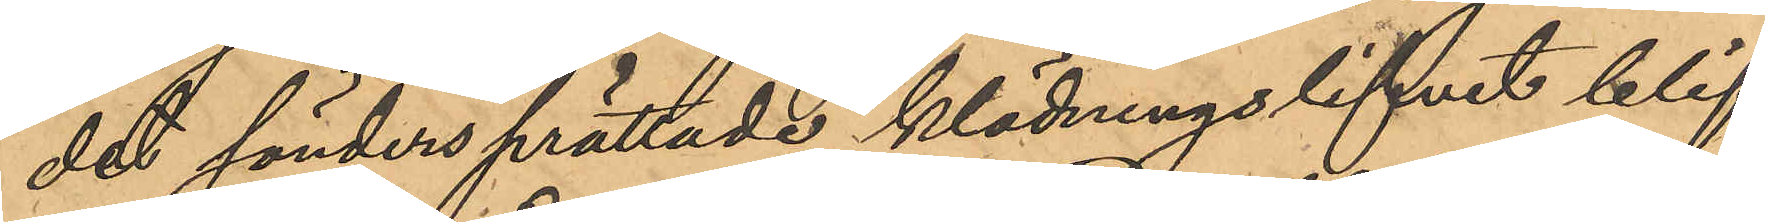det söndersprättade klädningslifvet blif¬
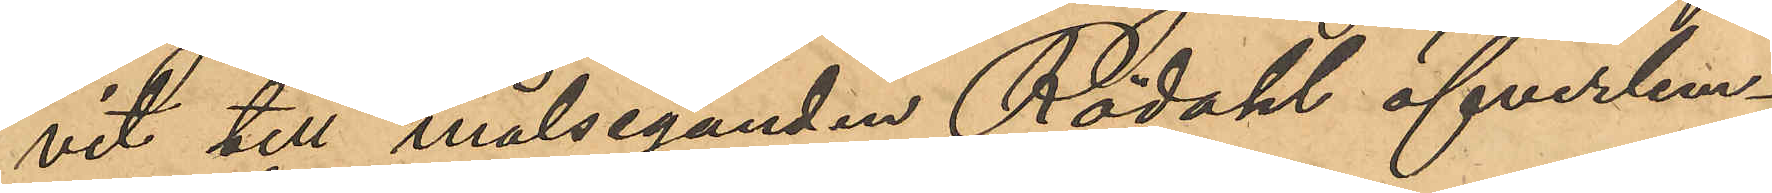vit till målseganden Rödahl öfverlem¬
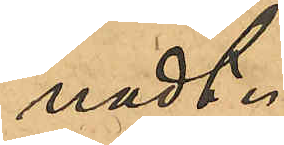nadt.
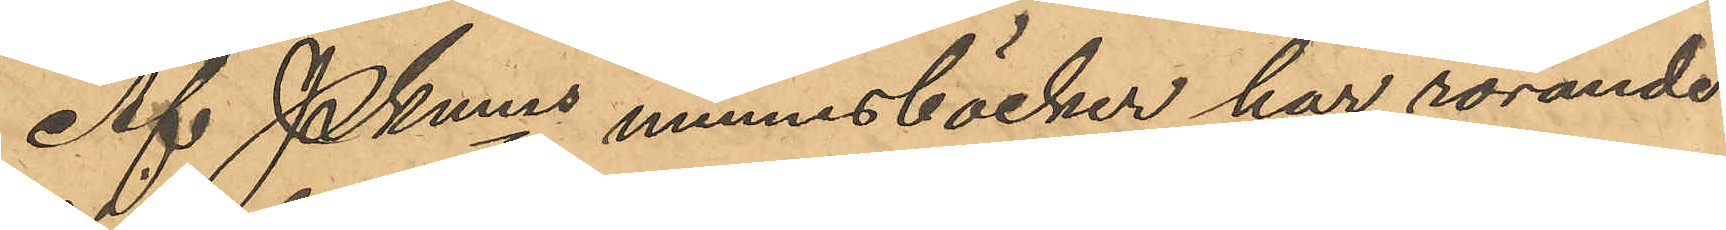Af Pkmns minnesböcker har rörande
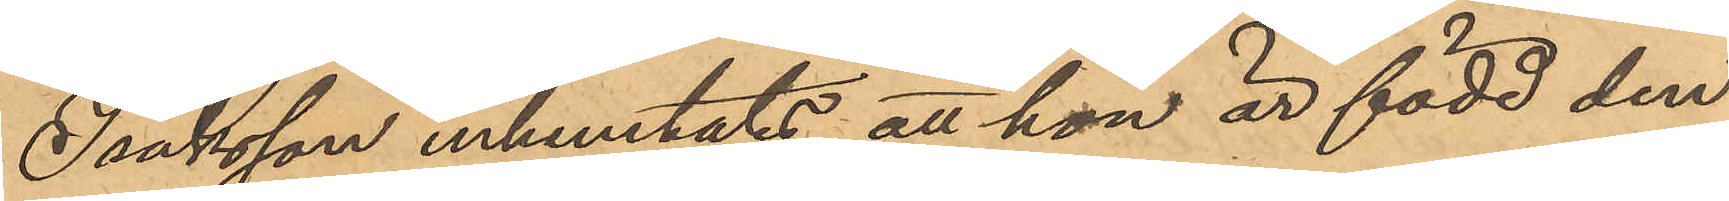Isaksson inhemtats att hon är född den
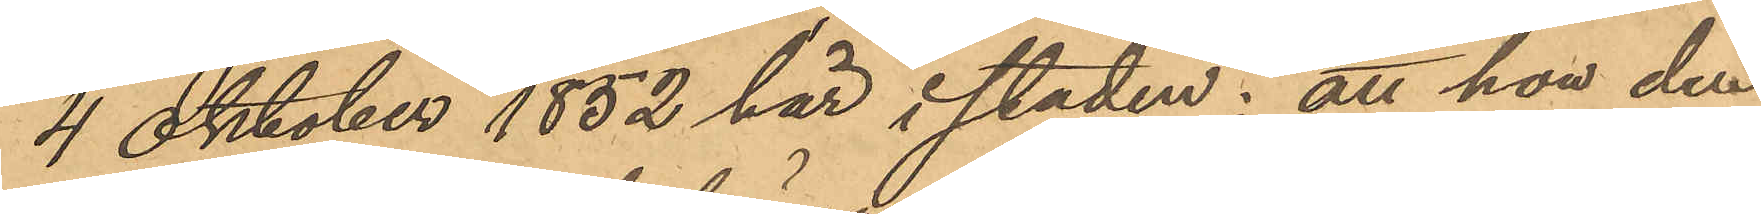4 Oktober 1852 här i staden; att hon den
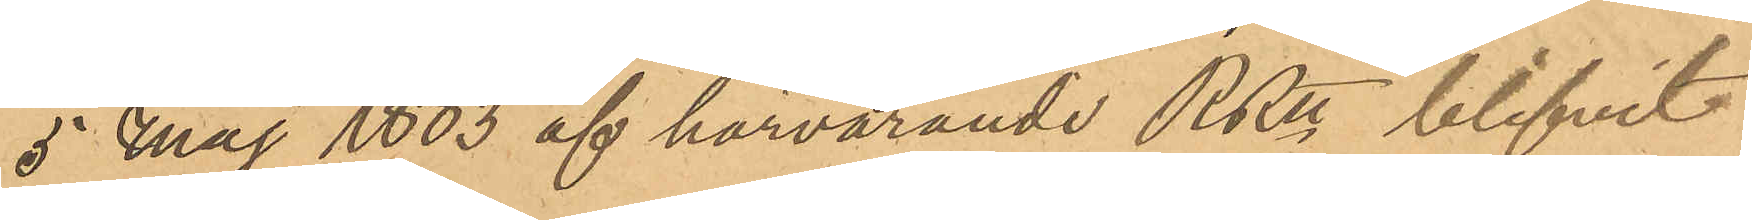5 Maj 1883 af härvarande RRtt blifvit
